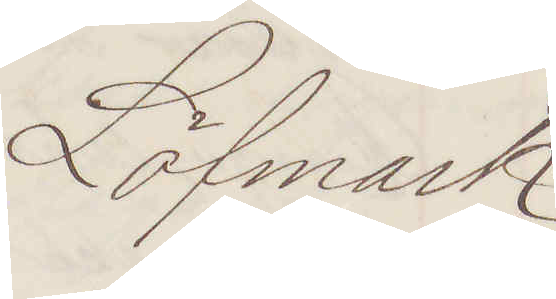Löfmark.
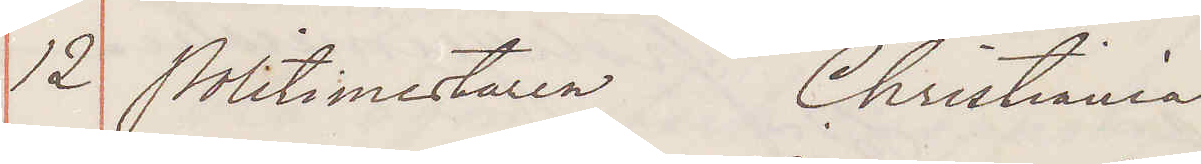12 Politimestaren Christiania
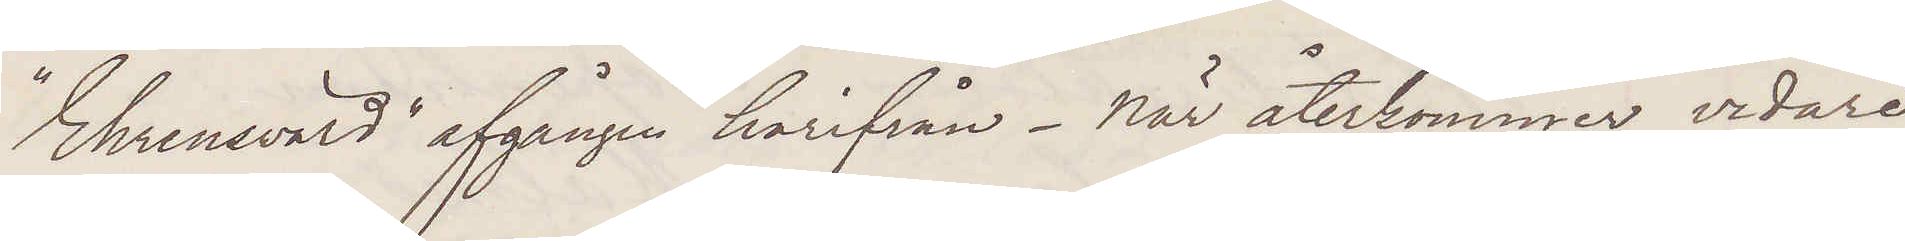"Ehrensvärd" afgången harifrån När återkommer vidare
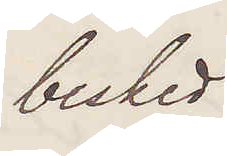besked.
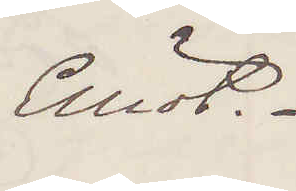Elliot.
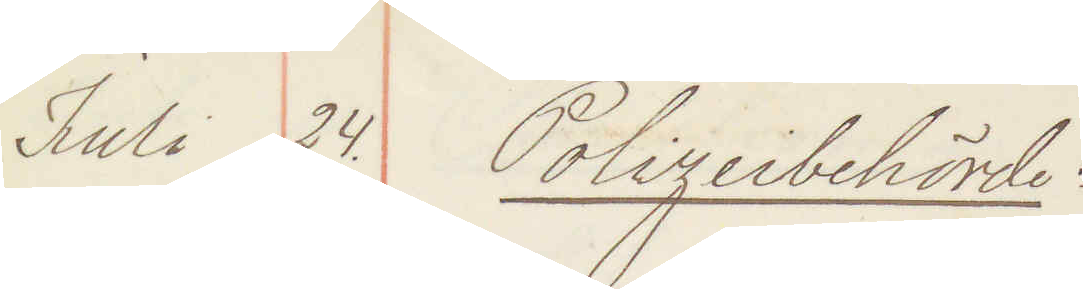Juli 24. Polizeibehörde
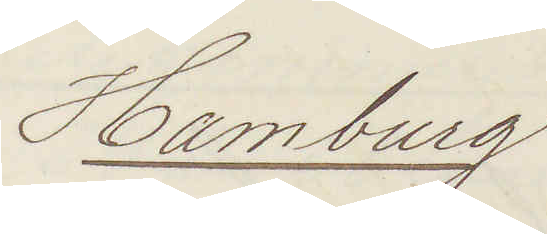Hamburg
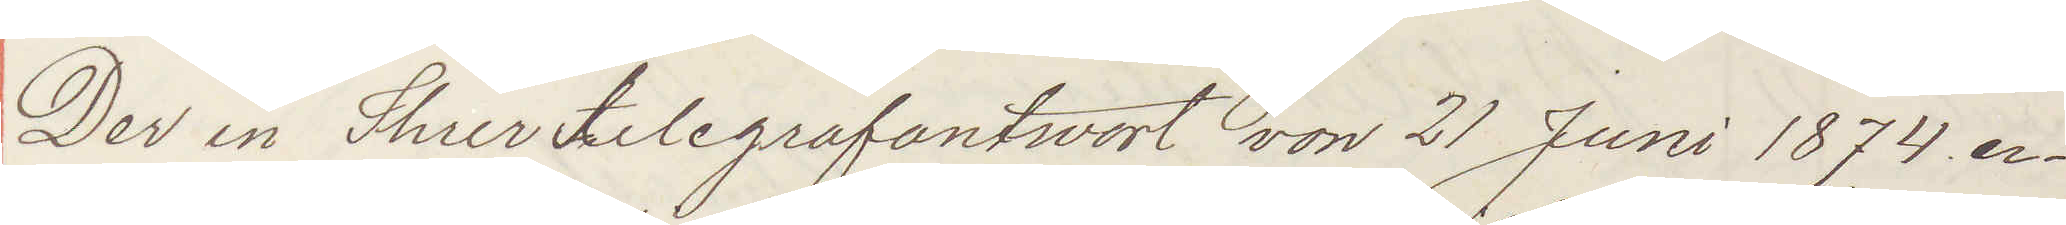Der in ShierTelegrafantwort von 21 Juni 1874 er¬
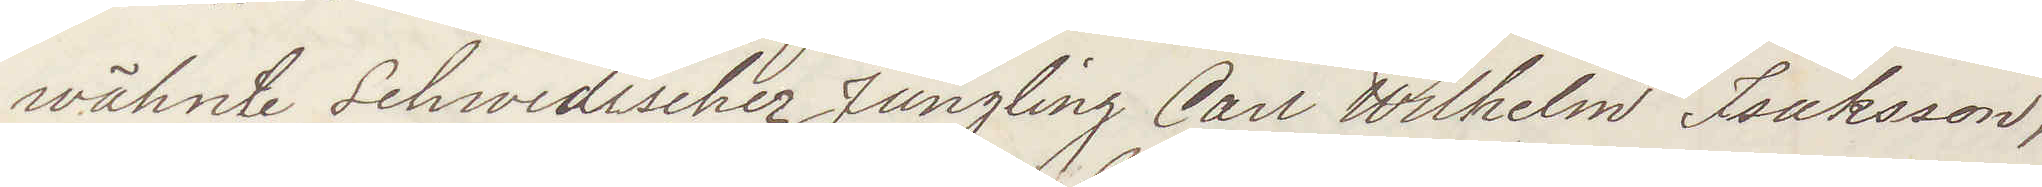wähnte Schwedischer Jüngling Carl Wilhelm Isaksson
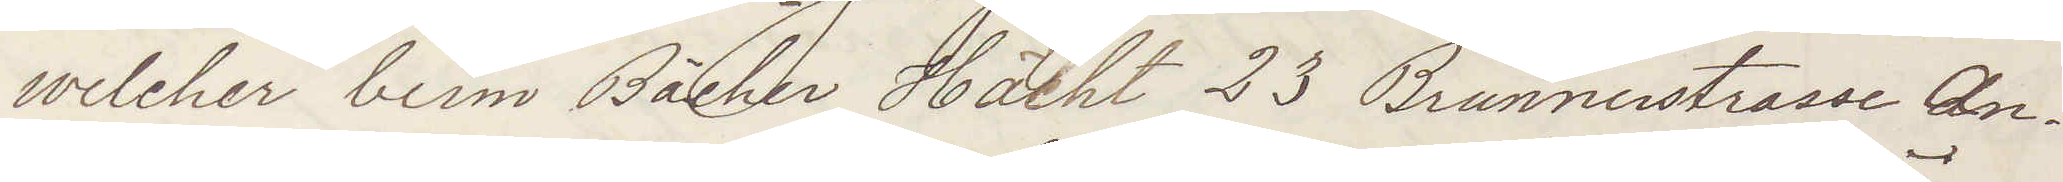welcher beim Bächer Hächt 23 Brunnerstrasse An¬
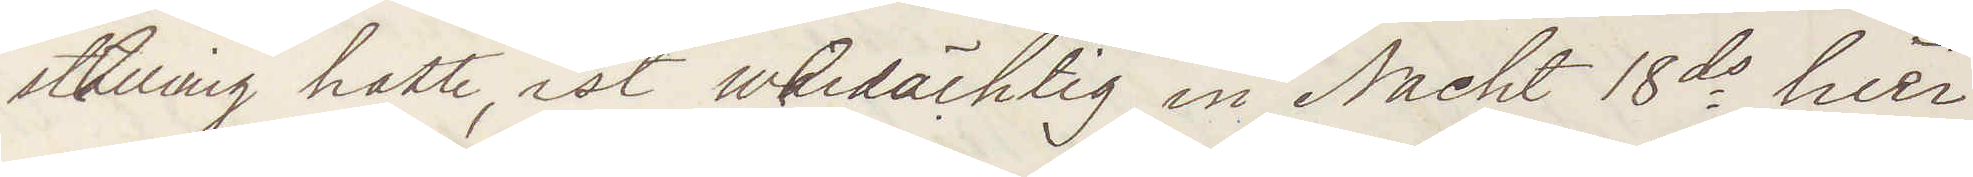sthurnig hatte, ist werdächtig in Nacht 18ds hier
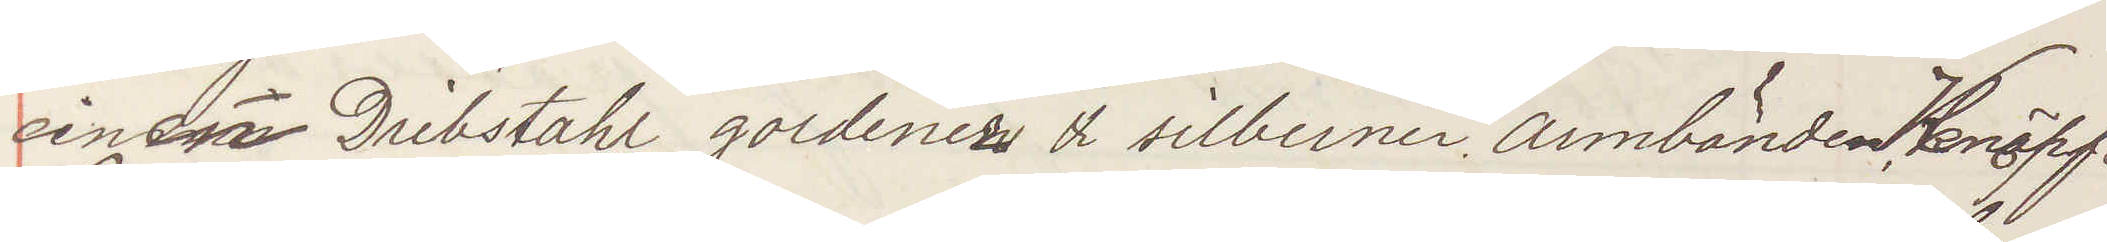einen Dribstahl gordenez & silberner armbänden Knäpf¬
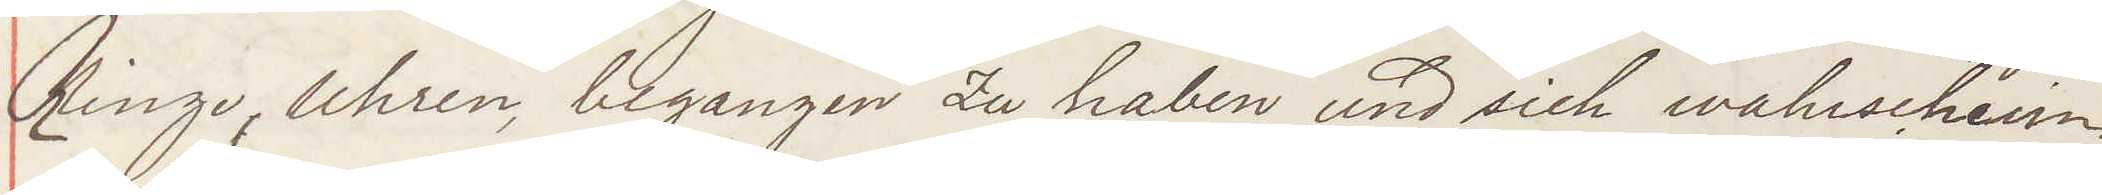Ringe, Uhren, begangen zu haben und sich wahrschein¬
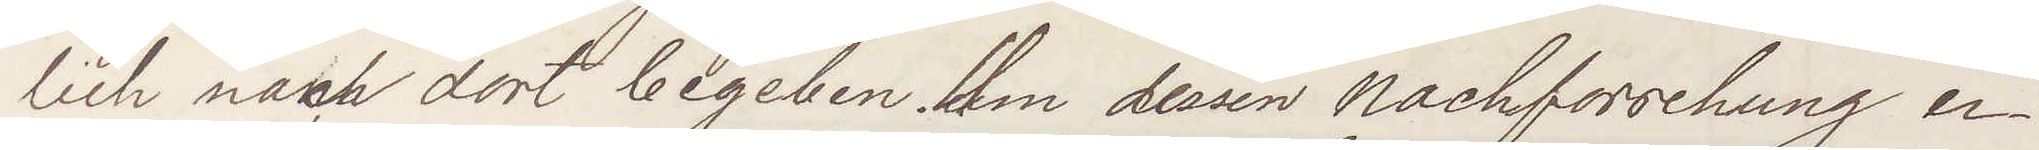lich nach dort begeben. Ihm dessen nachforschung er¬
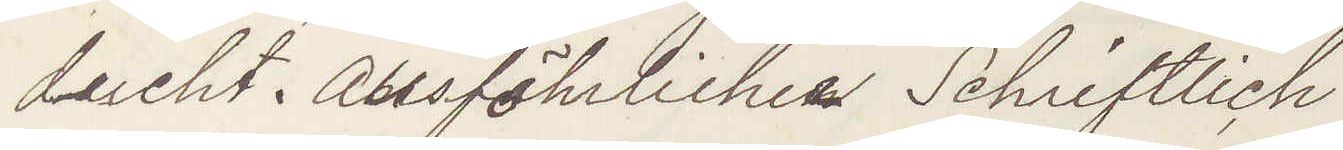ducht Ausföhrlichen Schriftlich
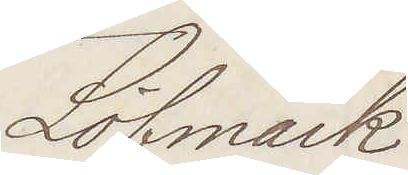Löfmark
